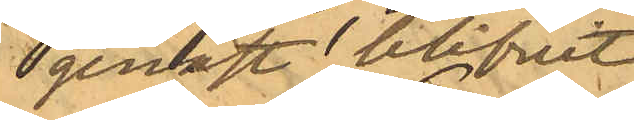genast blifvit
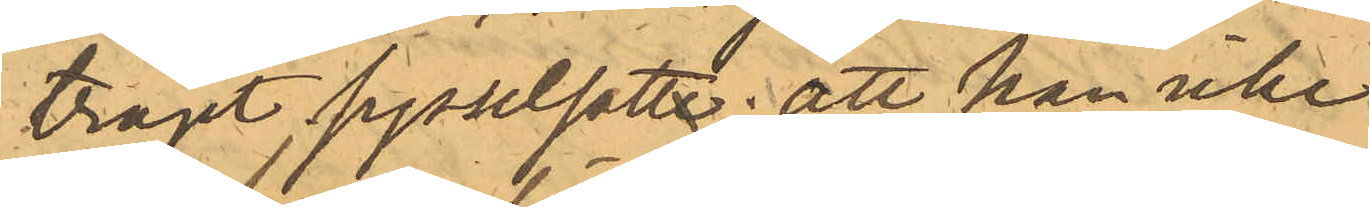träget sysselsatte; att han icke
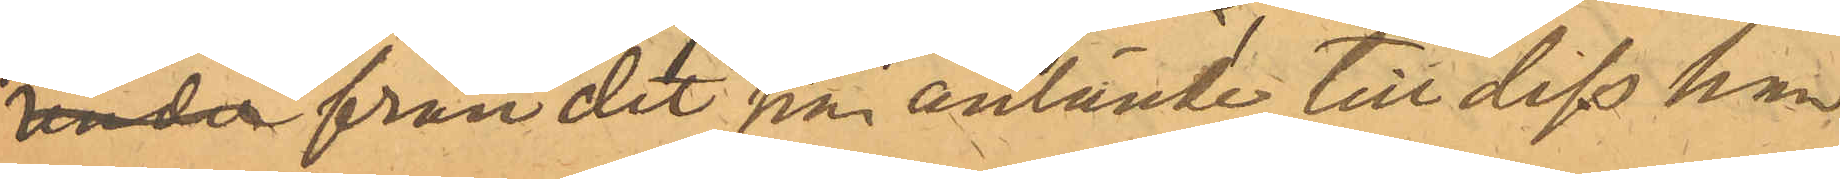under från det han anlände, till dess han
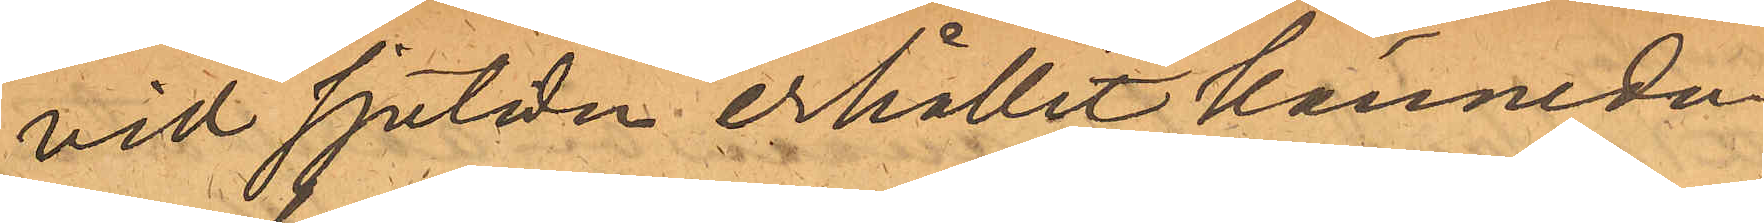vid sjutiden erhållit kännedom
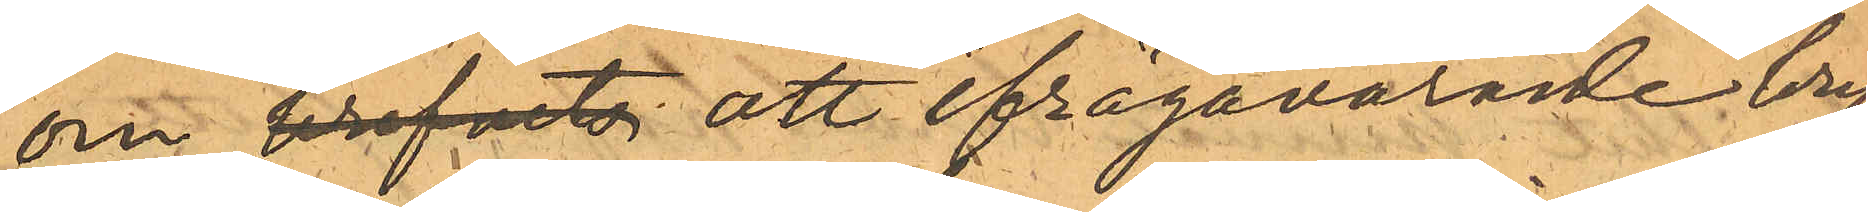om brefvets att ifrågavararde bref
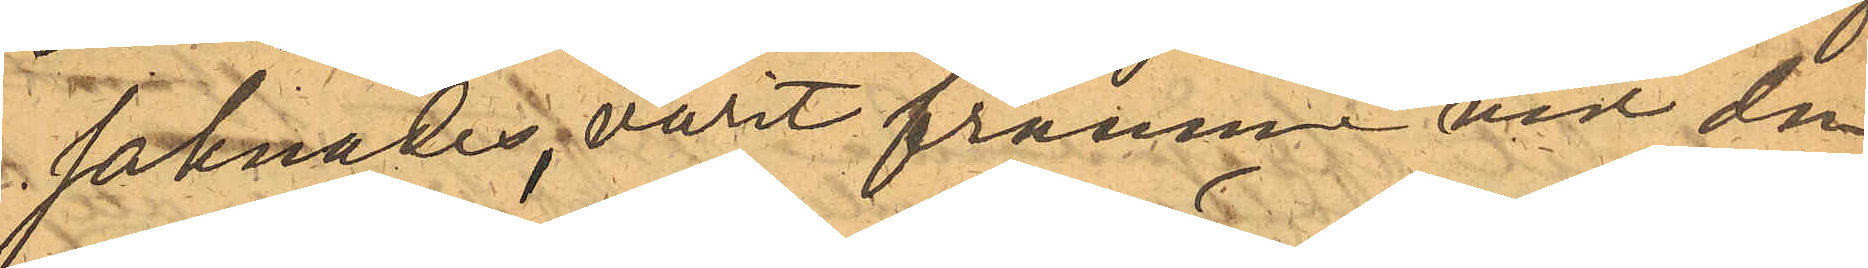saknades, varit framme vid den
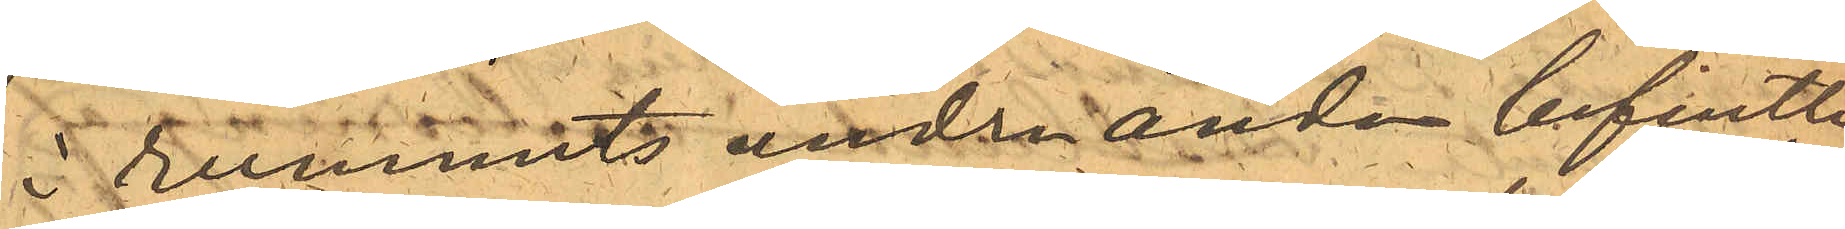i rummets andra ända befintli¬
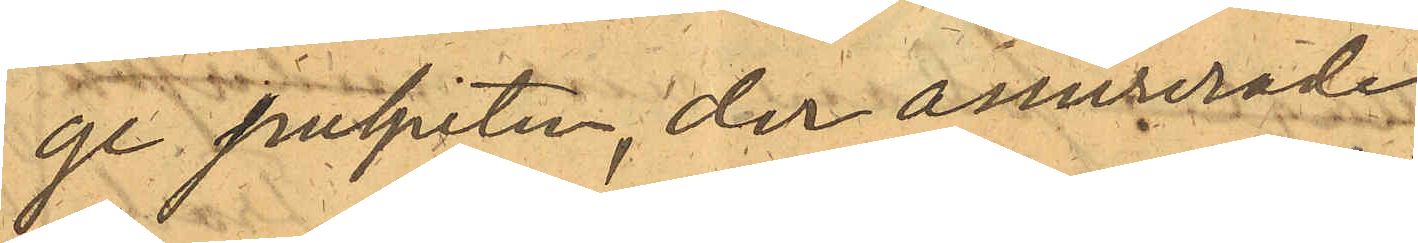ge pulpeten, der assurerade
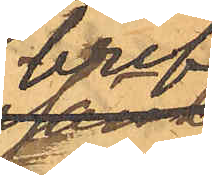bref
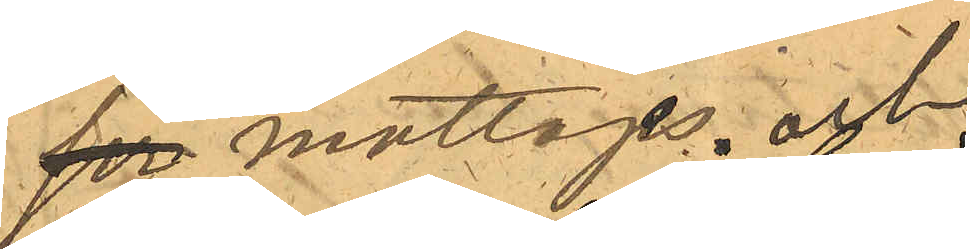ser mottages. och
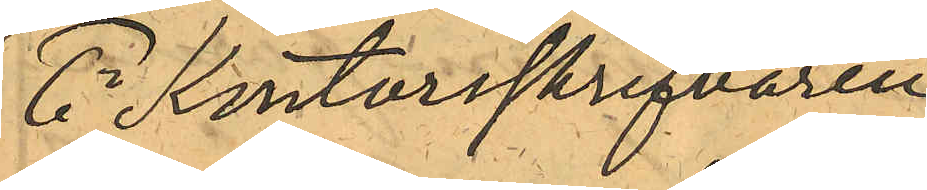6o Kontorsskrifvaren
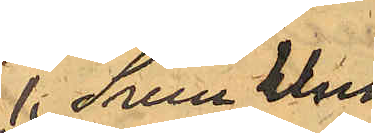 Sven Uno
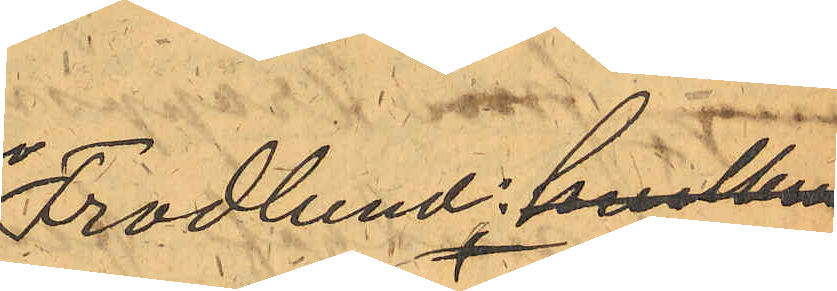Frodlund: hvilken
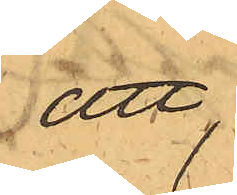att
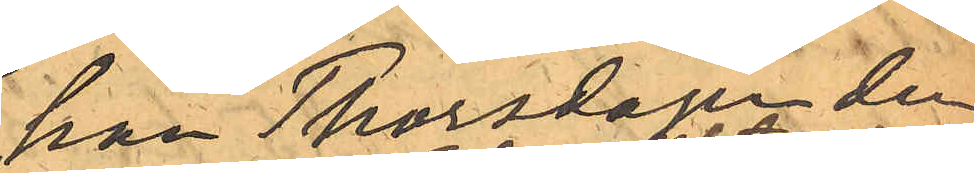han Thorsdagen den
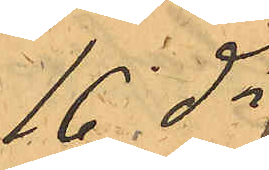16 ds
